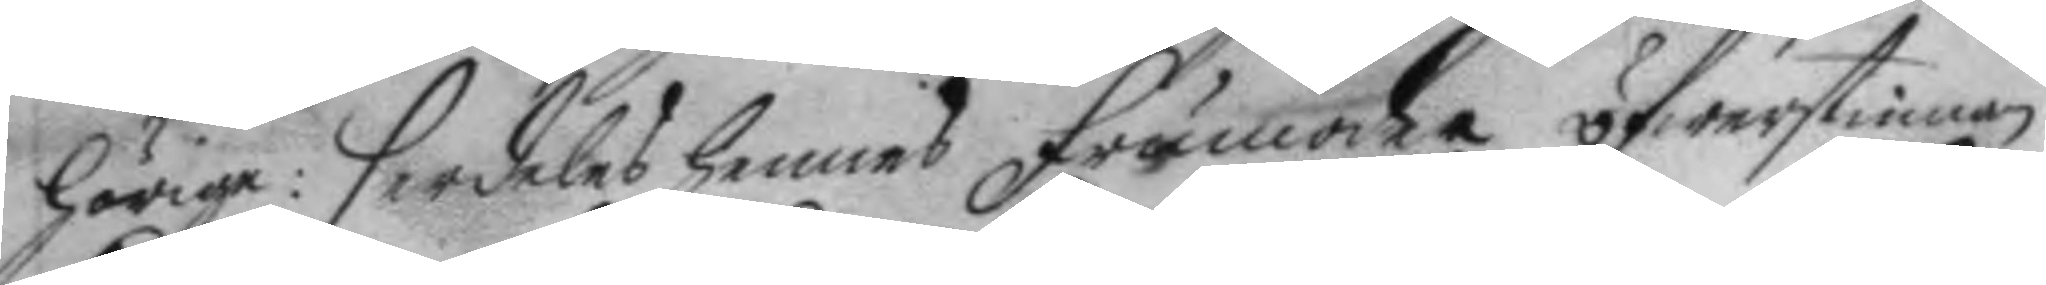hörige: serdeles hennes frumoder öfwerstinnan
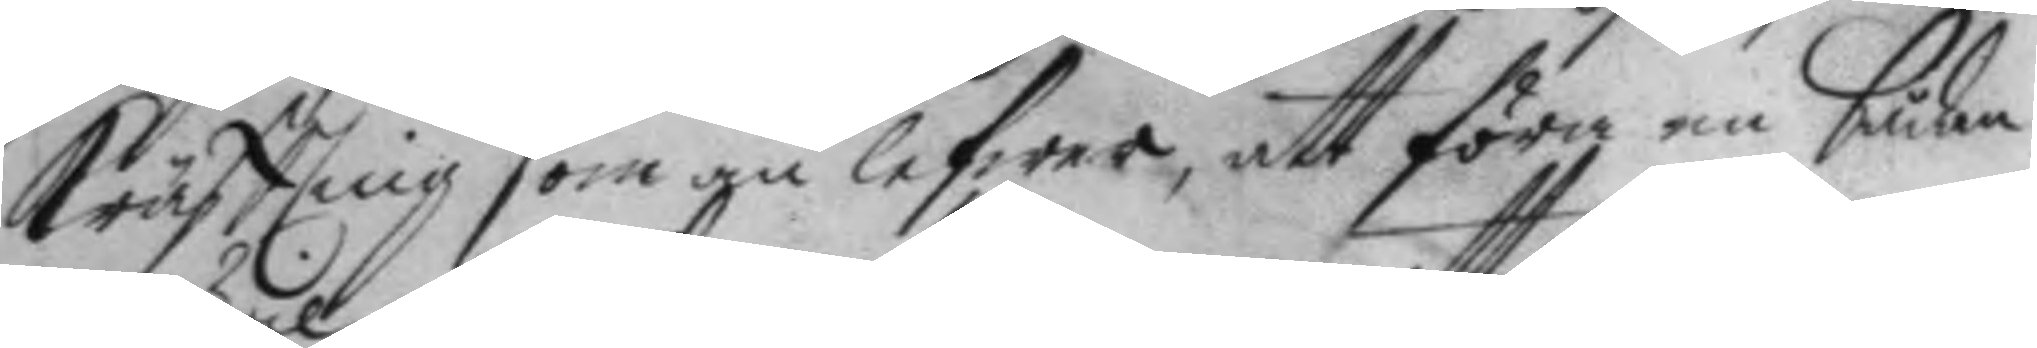Kräftling som än lefwer, att föra en bådan
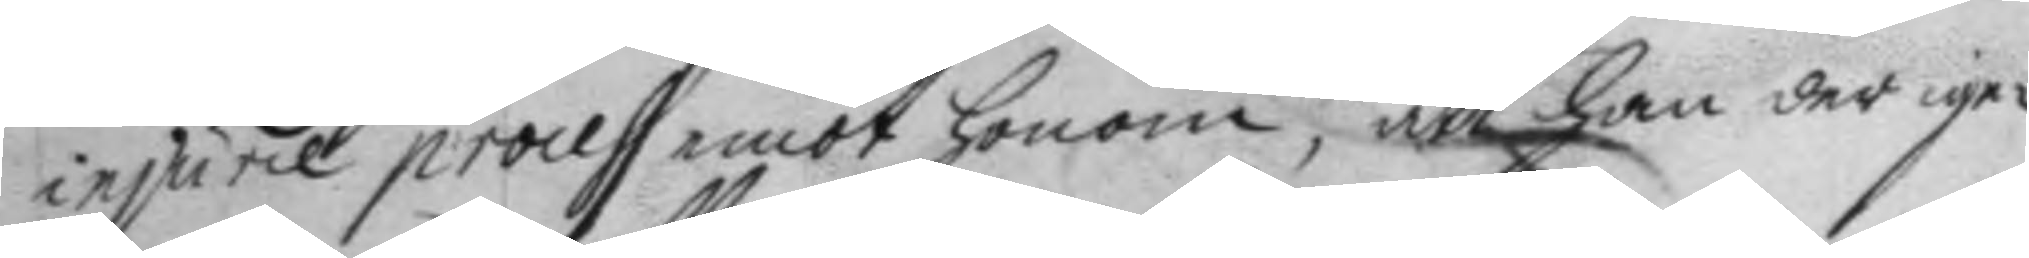injurie process emot honom, att han der ige¬
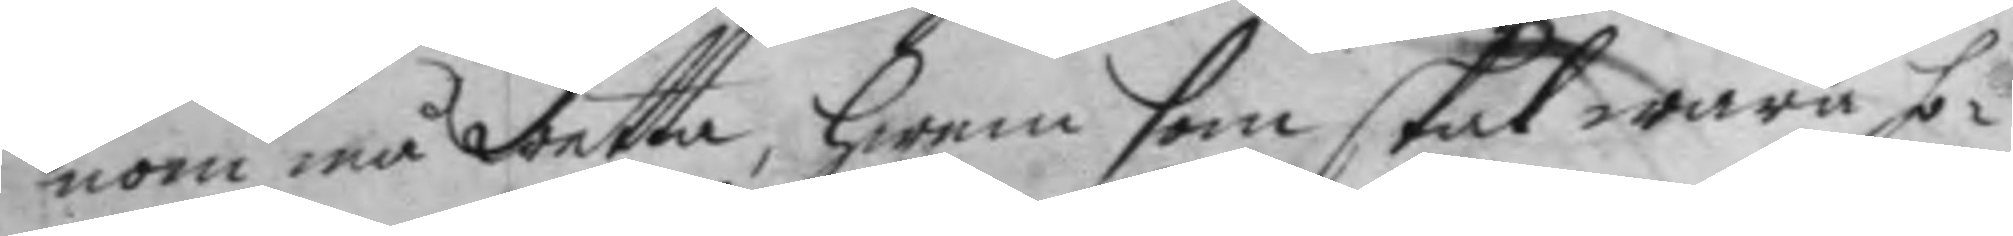nom må wetta, hwem som skal wara ho¬
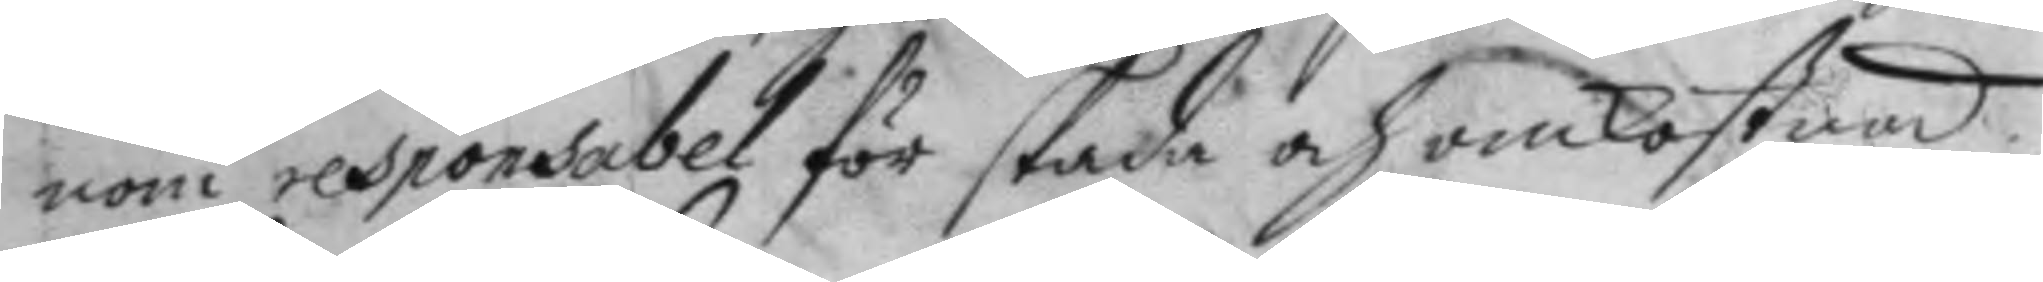nom responsabel för skada och omkostnad.
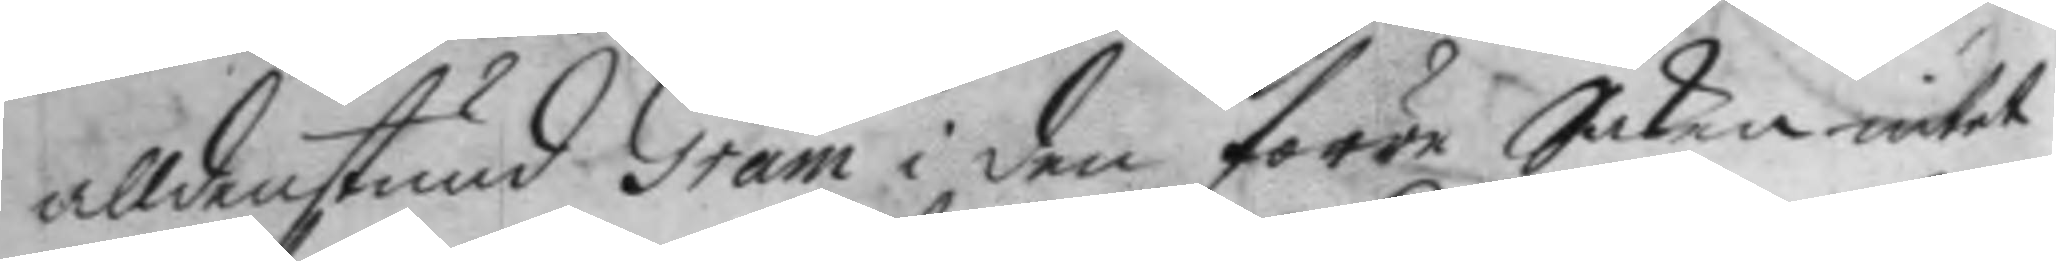alldenstund Gram i den förre Saken intet
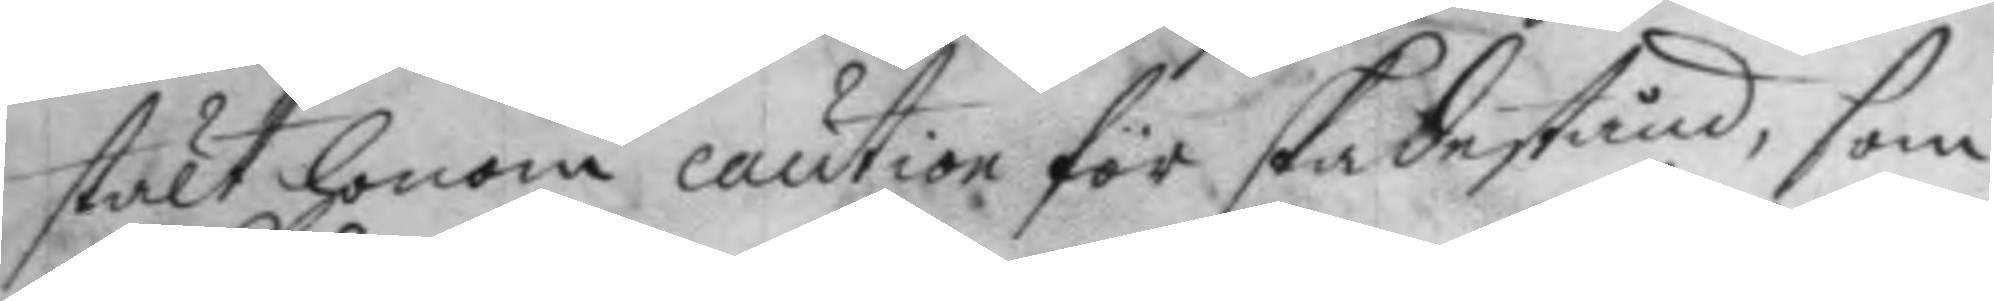stält honom caution för skadestånd, som
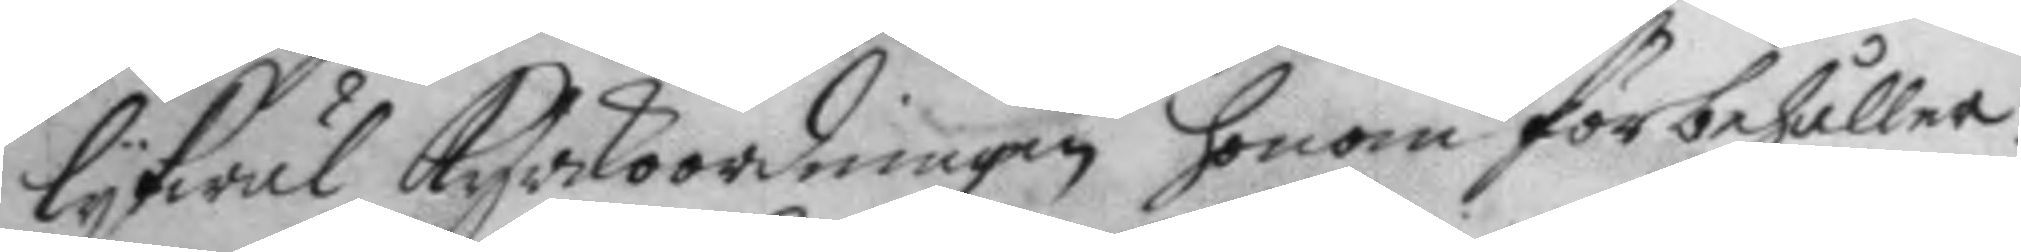lykwäl Kyrkoordningen honom förbehåller.
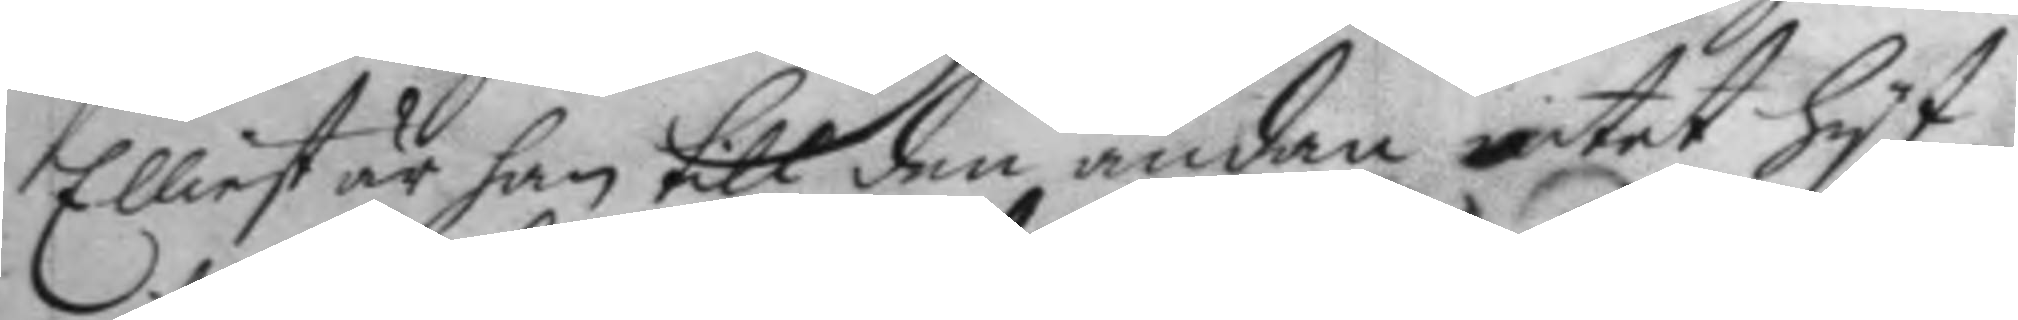Elliest är han till den ändan intet hyt
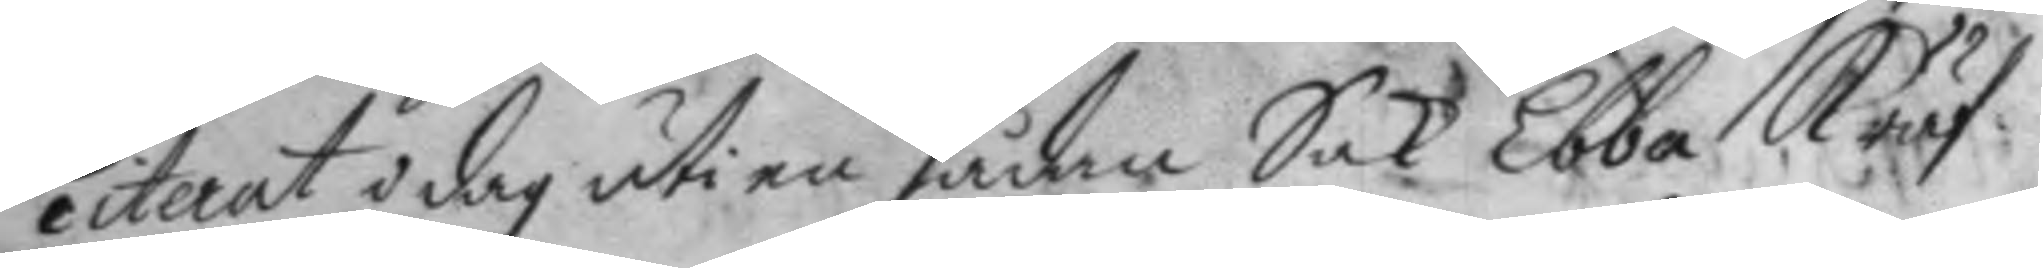citerat i dag uti en sådan Sak Ebba Kräf¬
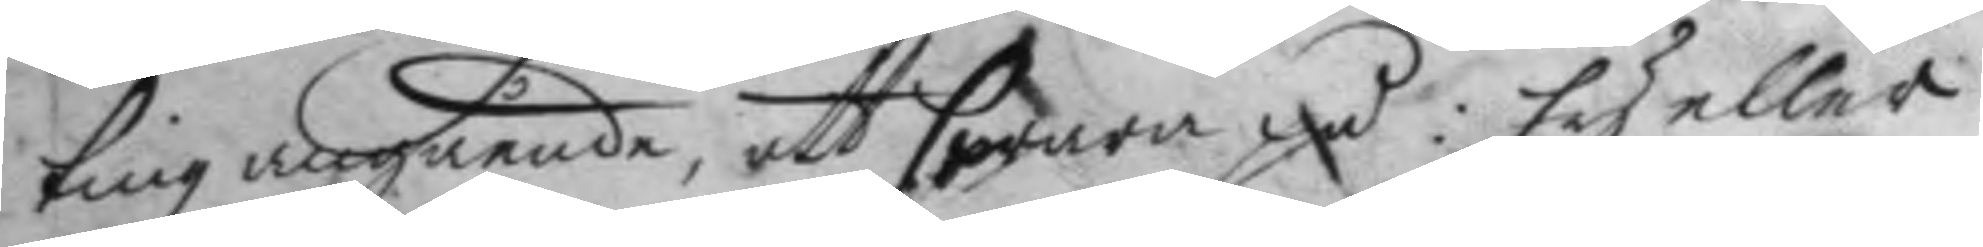ting angående, att swara på: Ey eller
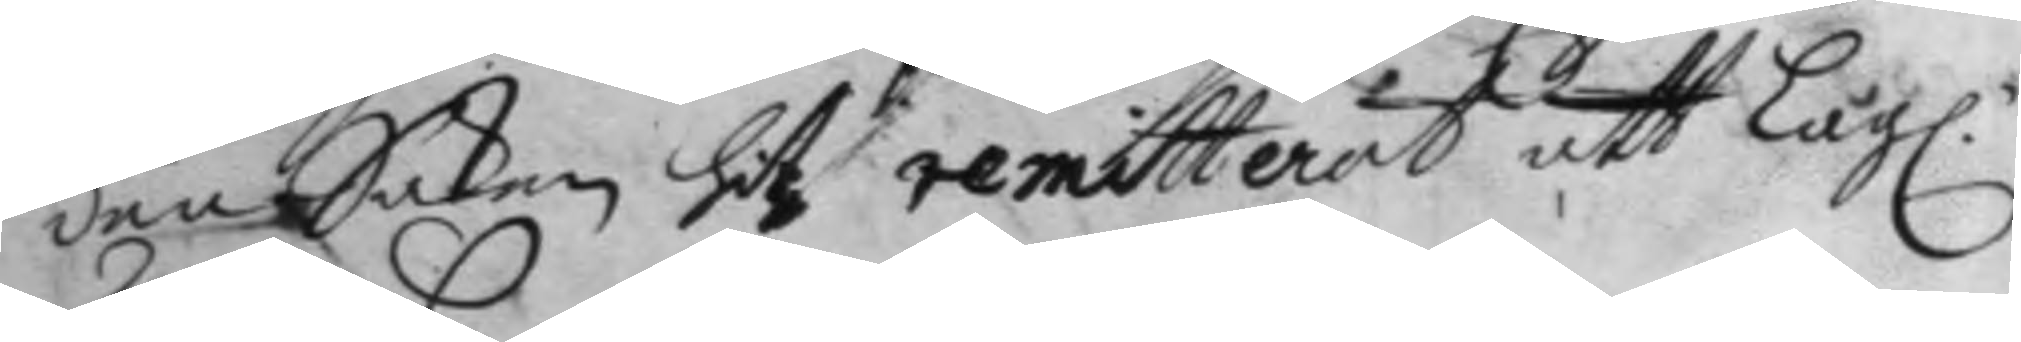den Saken hit remitterat att Lag. 
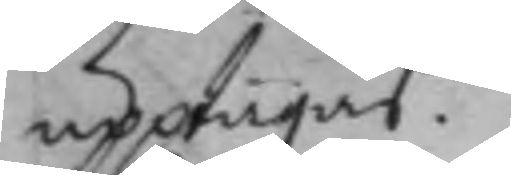upptagas.
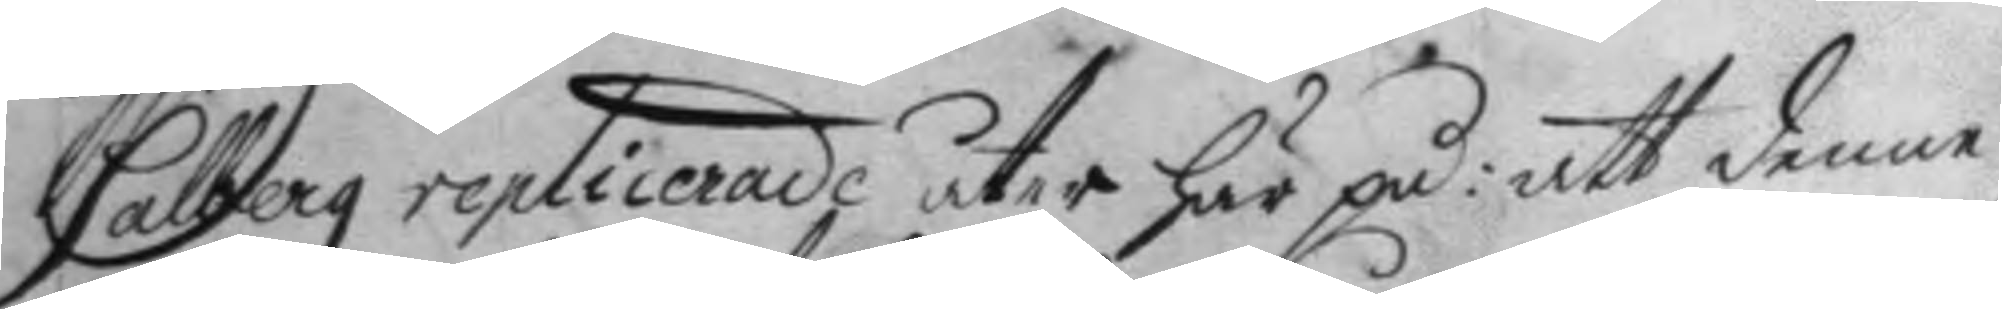Salberg replicerade åter här på: att denne
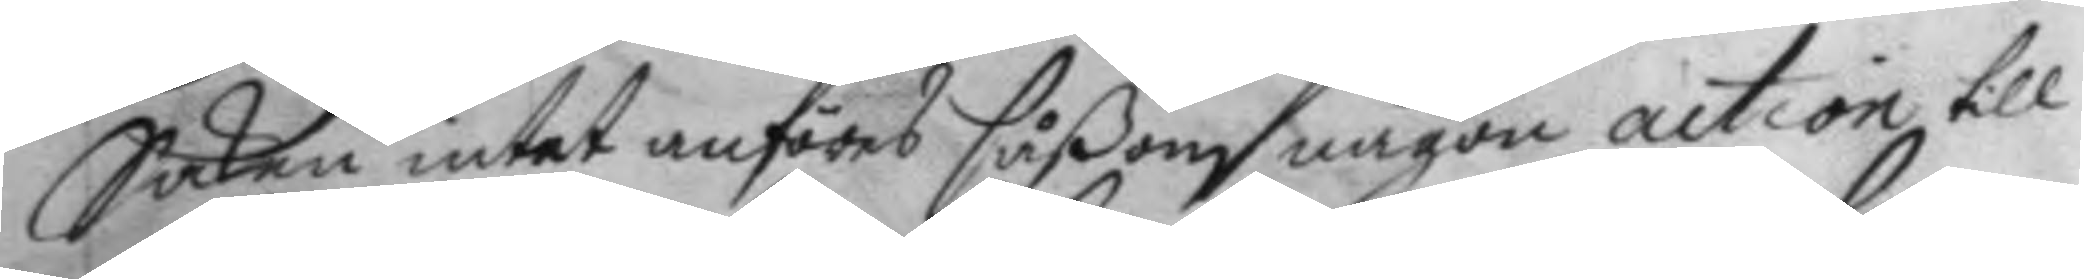Saken intet anföres såßom någon action till
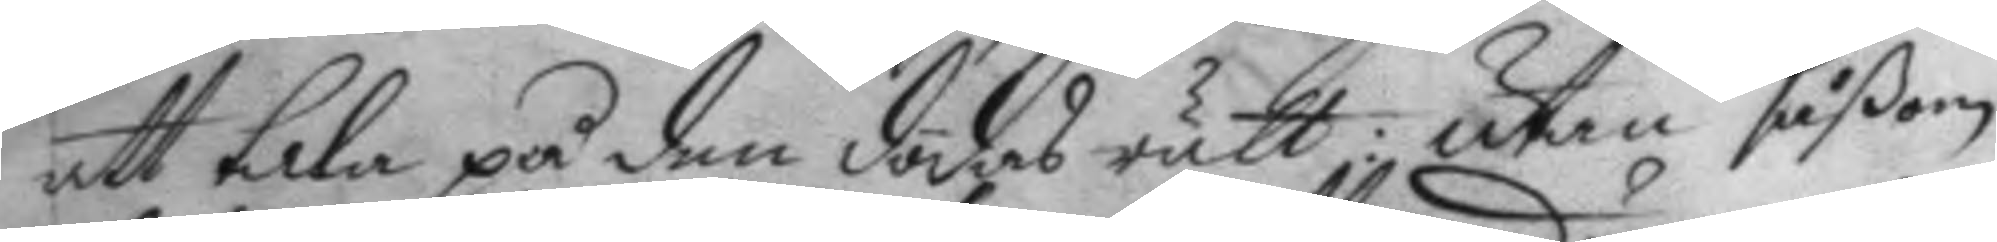att tala på den dödes rätt; utan såßom
